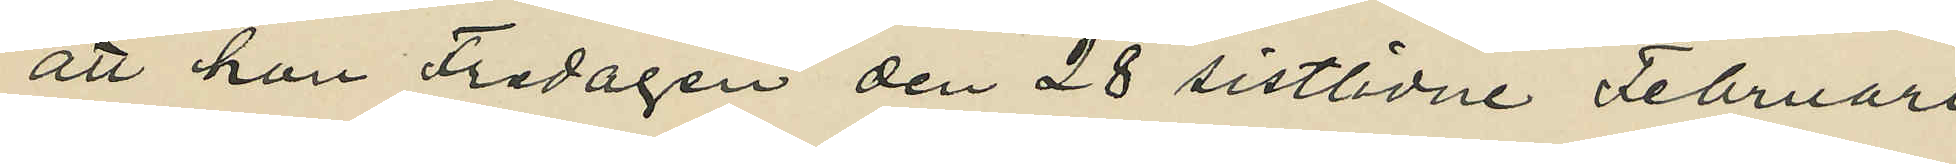att hon Fredagen den 28 sistlidne Februari
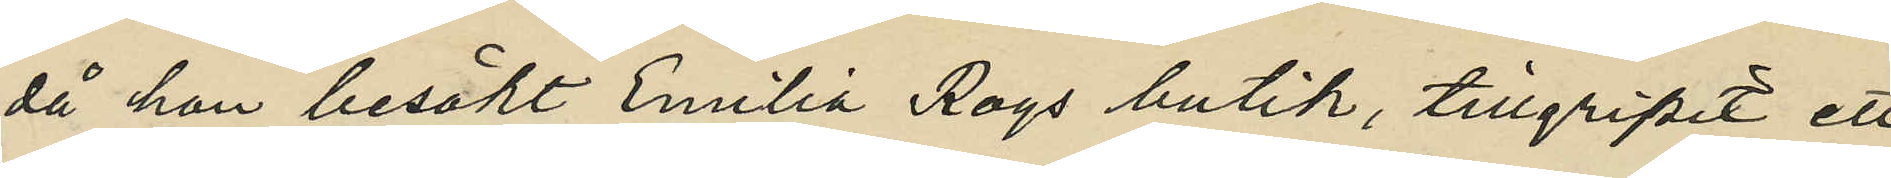då hon besökt Emilia Roys butik, tillgripit ett
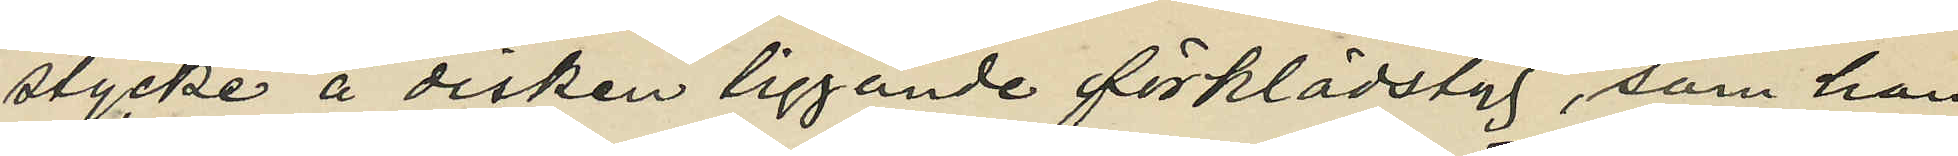stycke å disken liggande förklädstyg, som hon
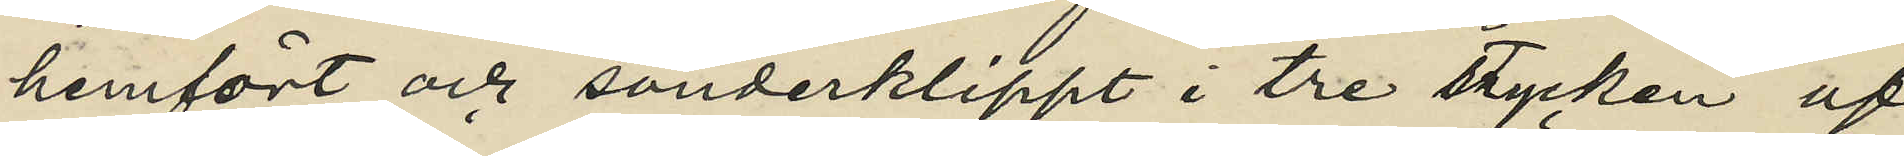hemfört och sönderklippt i tre stycken af
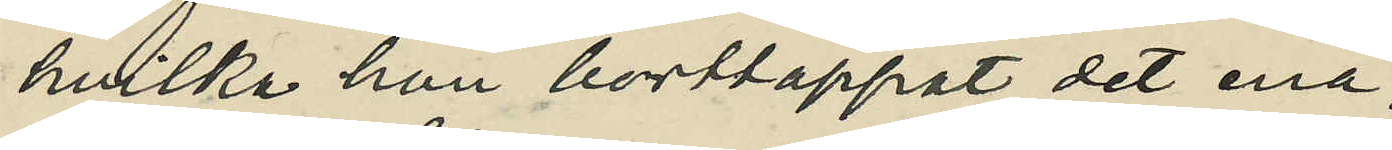hvilka hon bortlappat det ena;
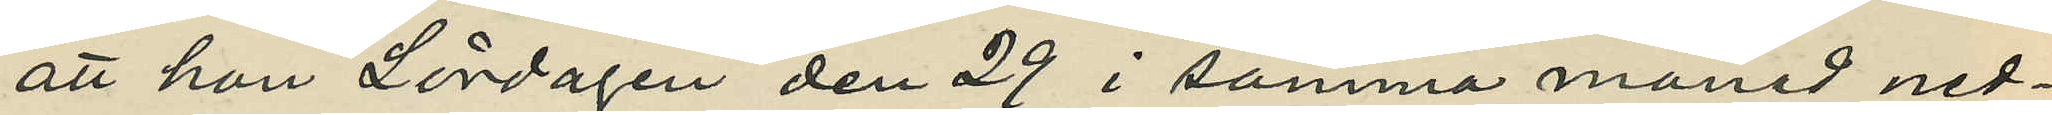att hon Lördagen den 29 i samma månad ned¬
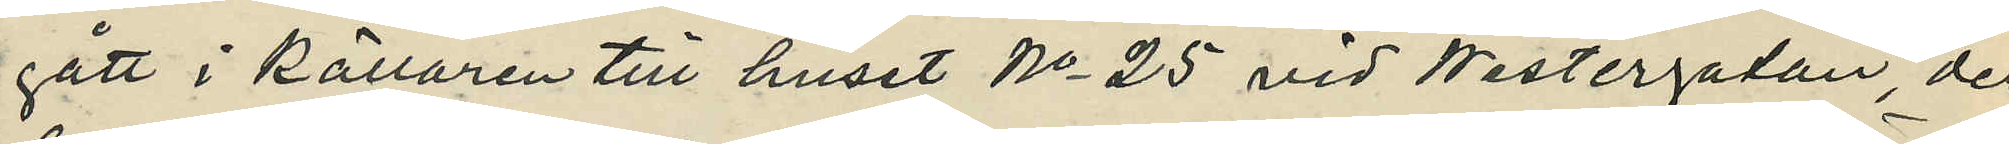gått i källaren till huset No 25 vid Westergatan, der
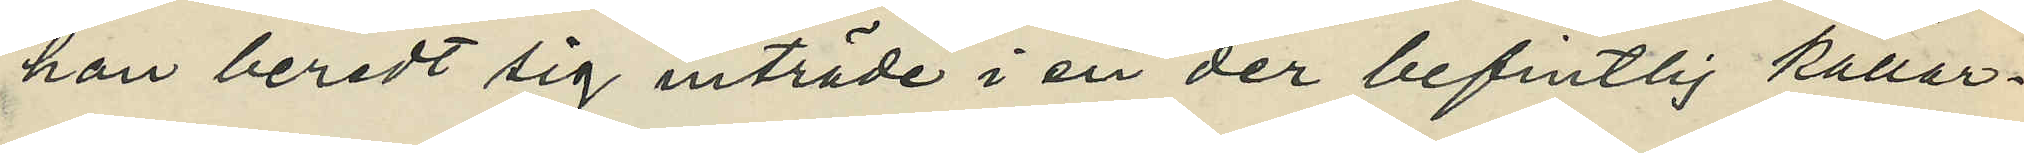hon beredt sig inträde i en der befintlig källar¬
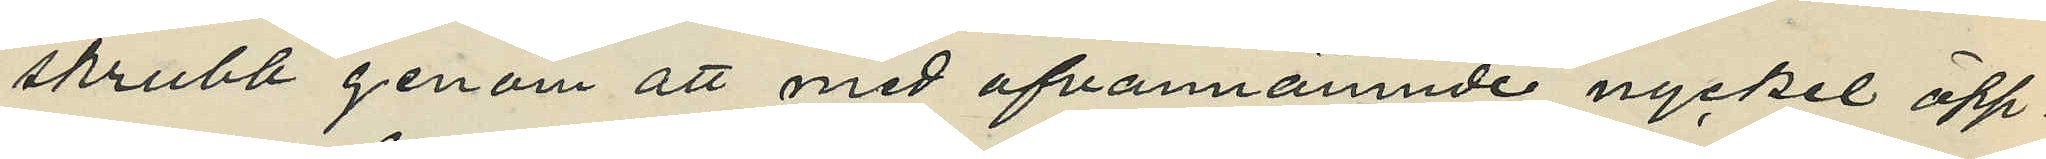skrubb genom att med ofvannämnde nyckel öpp¬
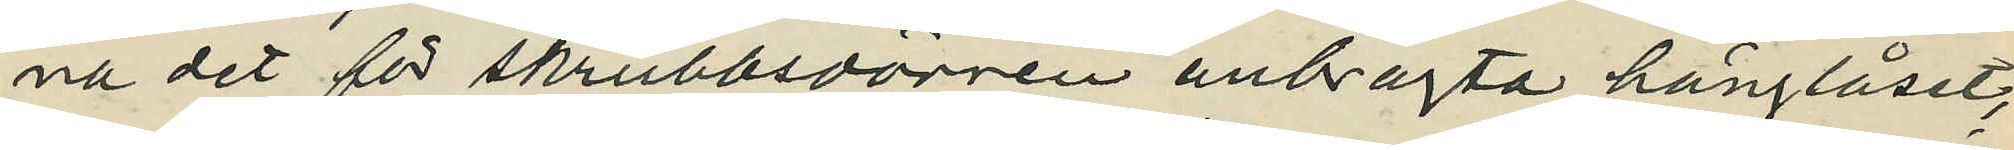na det för skrubbsdörren anbragta hänglåset,
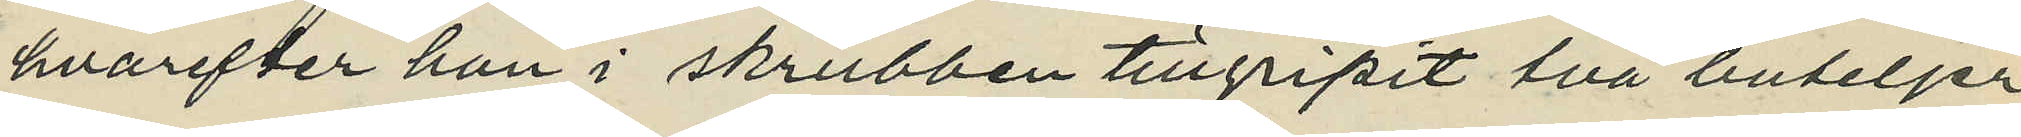hvarefter hon i skrubben tillgripit två buteljer
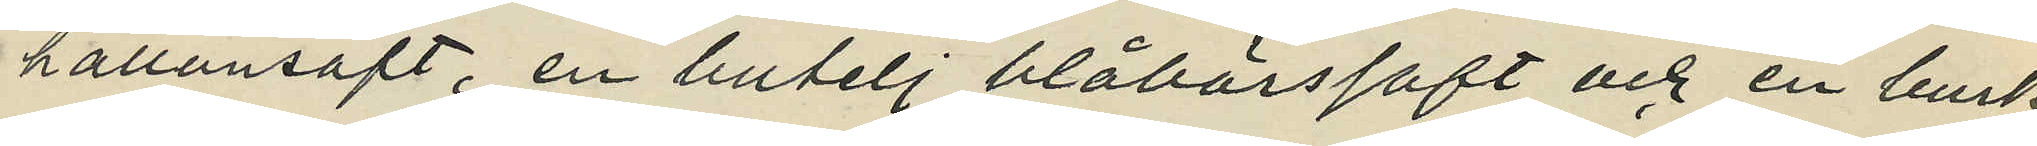hallonsaft, en butelj blåbärssaft och en burk
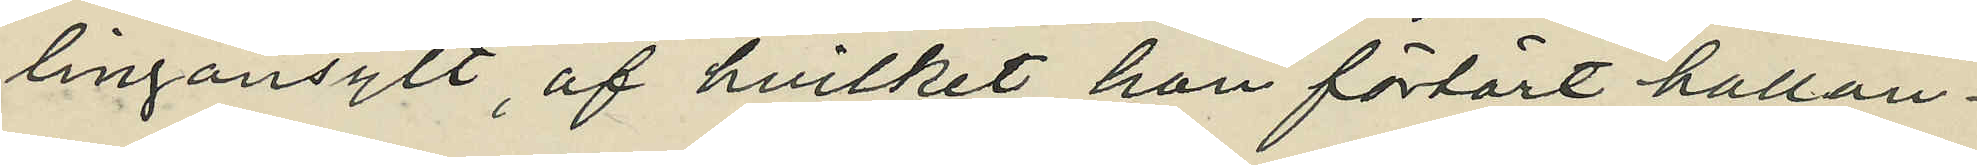lingonsylt, af hvilket hon förtärt hallon¬
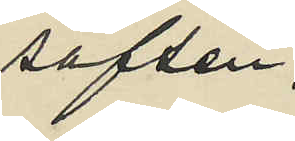saften;
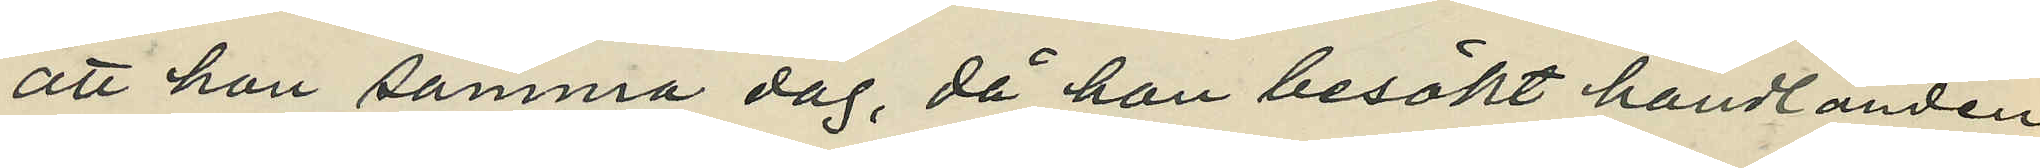att hon samma dag, då hon besökt handlanden
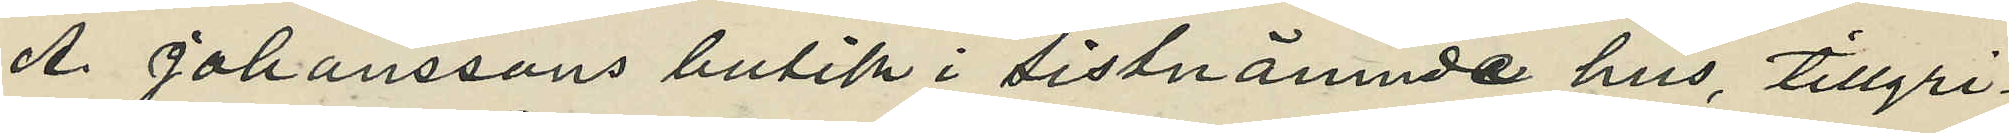A. Johanssons butik i sistnämnda hus, tillgri¬
